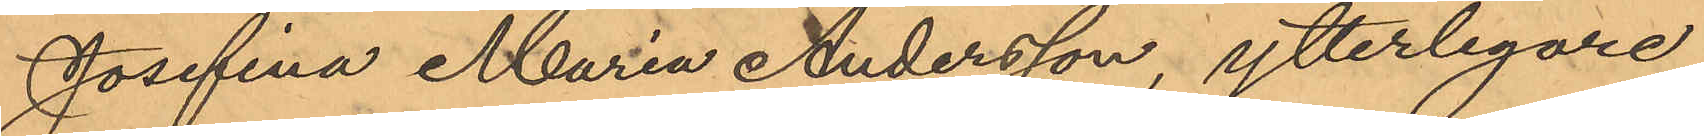Josefina Maria Andersson, ytterligare
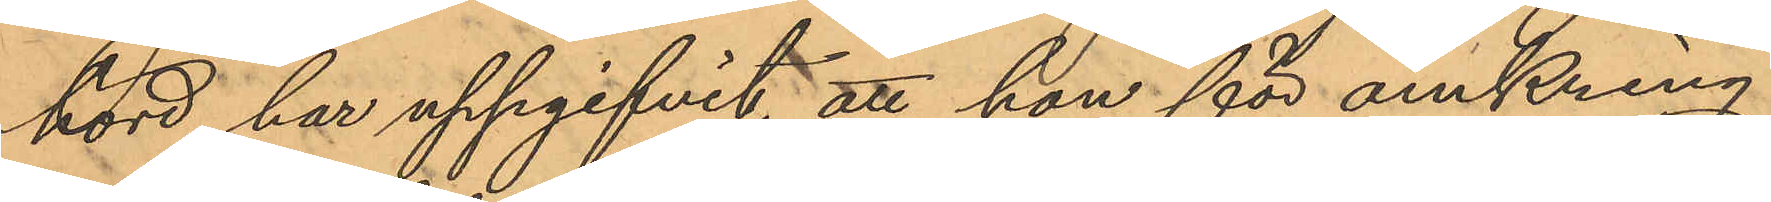hörd, har uppgifvit, att hon för omkring
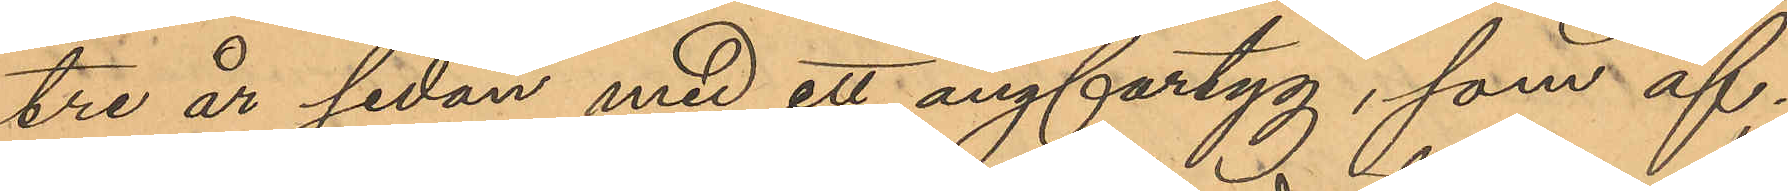tre år sidan med ett ångfartyg, som af¬
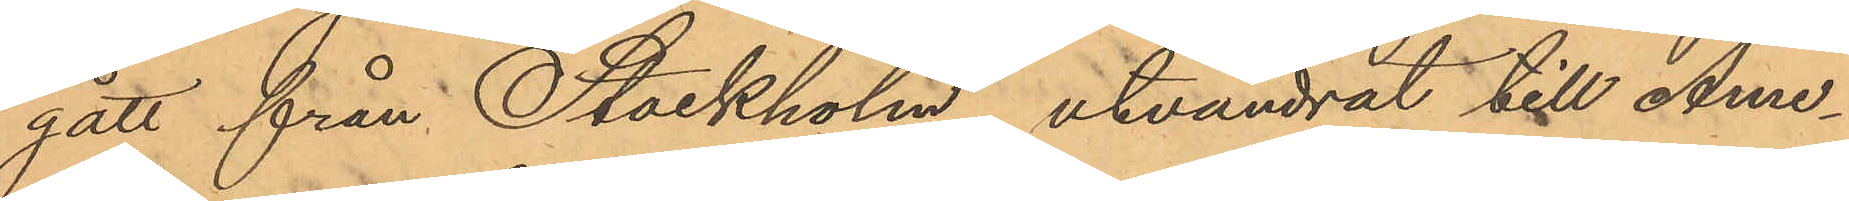gått från Stockholm utvandrat till Ame¬
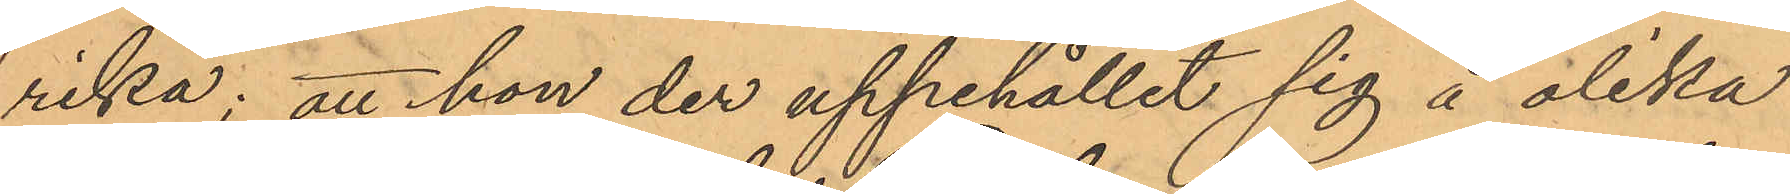rika; att hon der uppehållit sig å olika
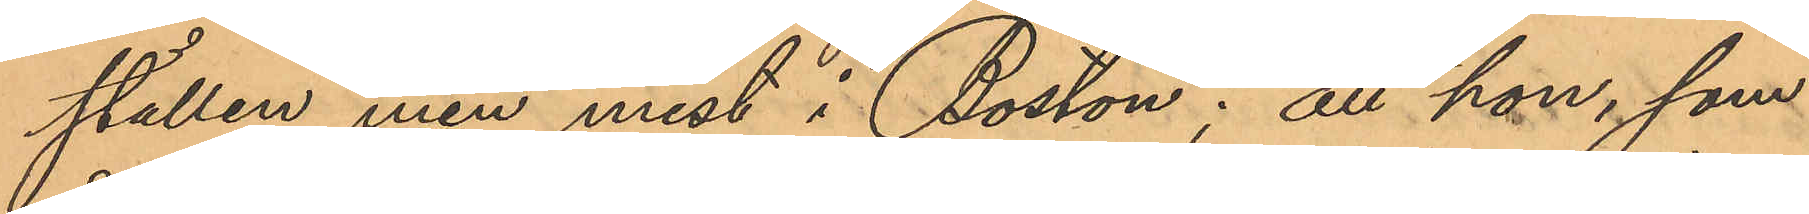ställen men mest i Boston; att hon, som
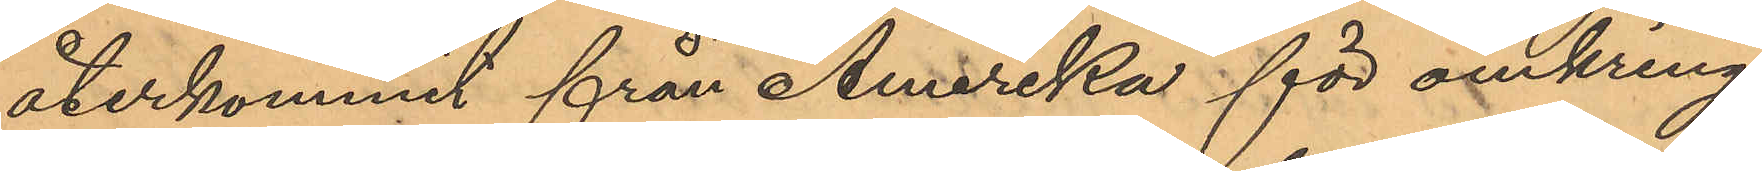återkommit från Amerika för omkring
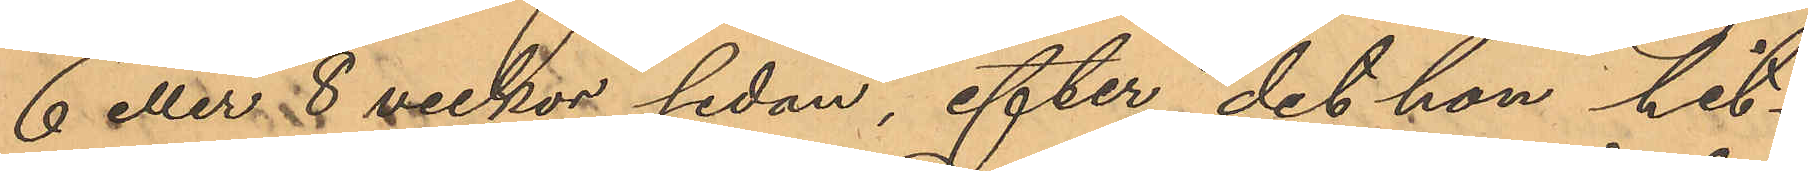6 eller 8 veckor sedan, efter det hon hit¬
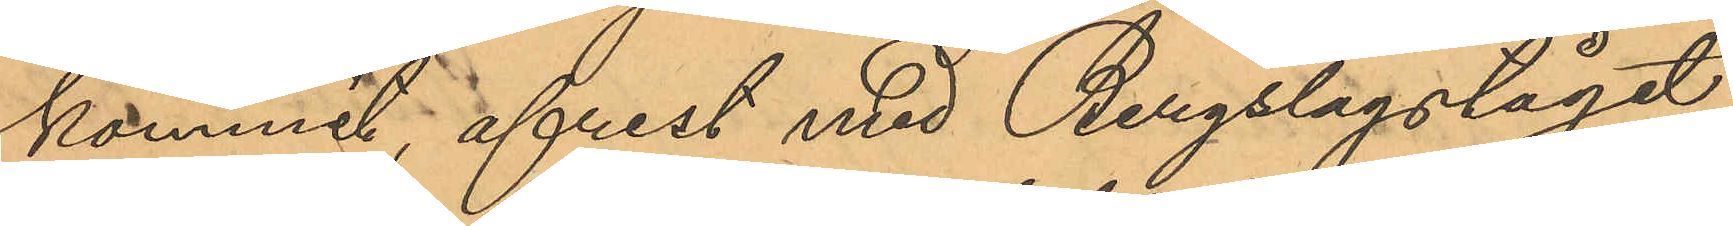kommit, afrest med Bergslagståget
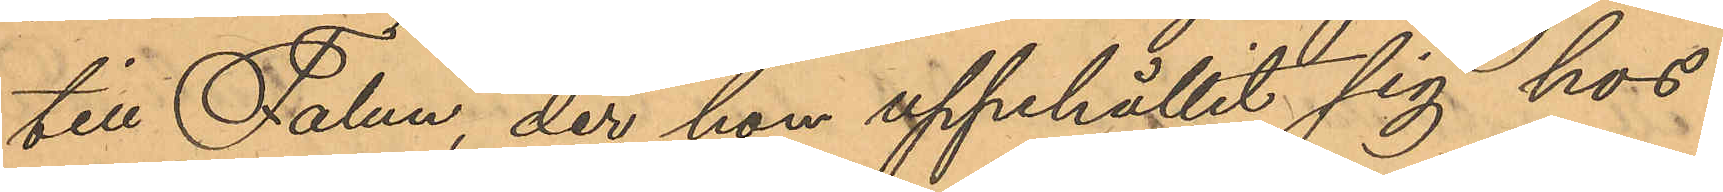till Falun, der hon uppehållit sig hos
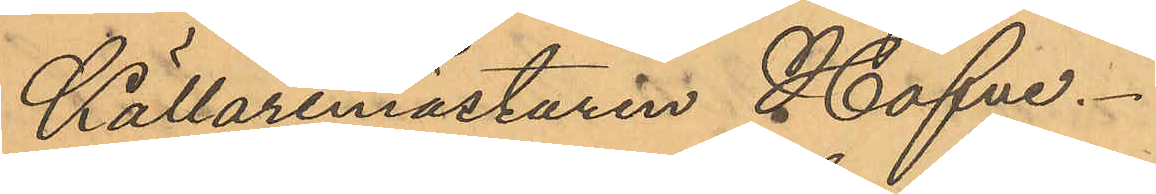Källaremästaren Hafve.
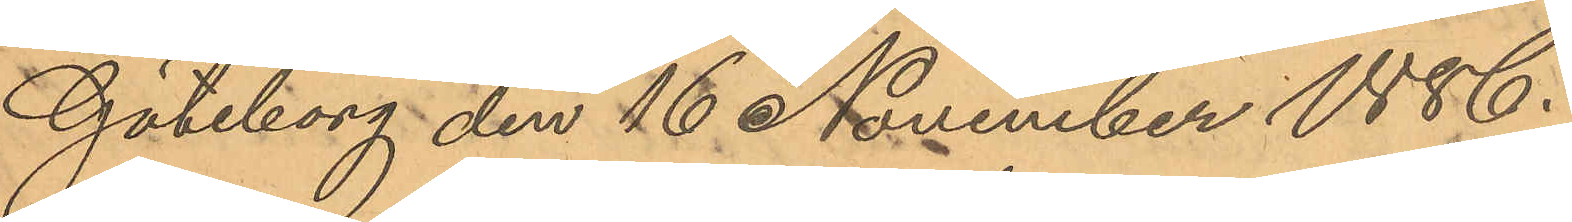Göteborg den 16 November 1886.
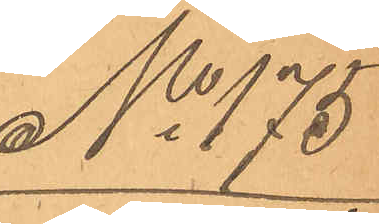No 175
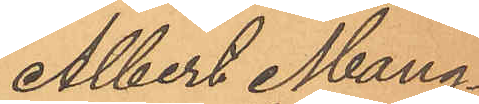Albert Mang¬
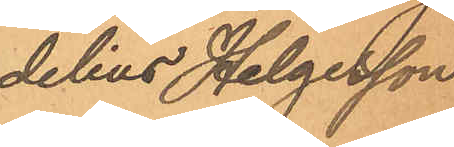delius Helgesson
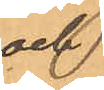och
